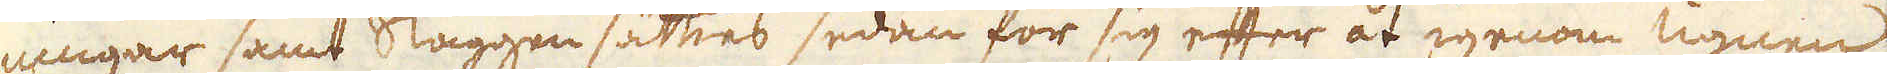ningar samt slaggen sätties sedan för sig efter åt igenom ugnen
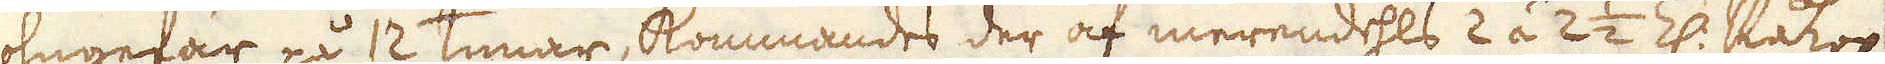ohngefär på 12 timar, kommandes der af merendehls 2 á 2 1/2 Z: Råkop-
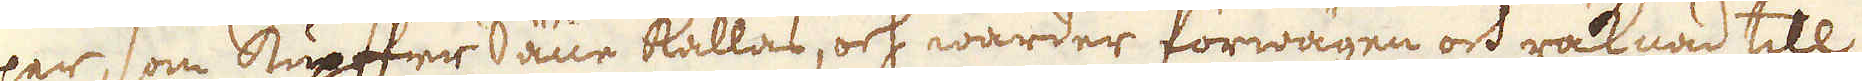par, som Kupffer Säur kallas, och warder förwägne och räknad till
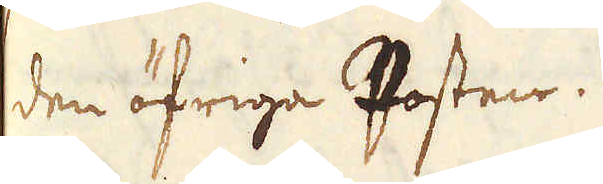den öfriga Posten.
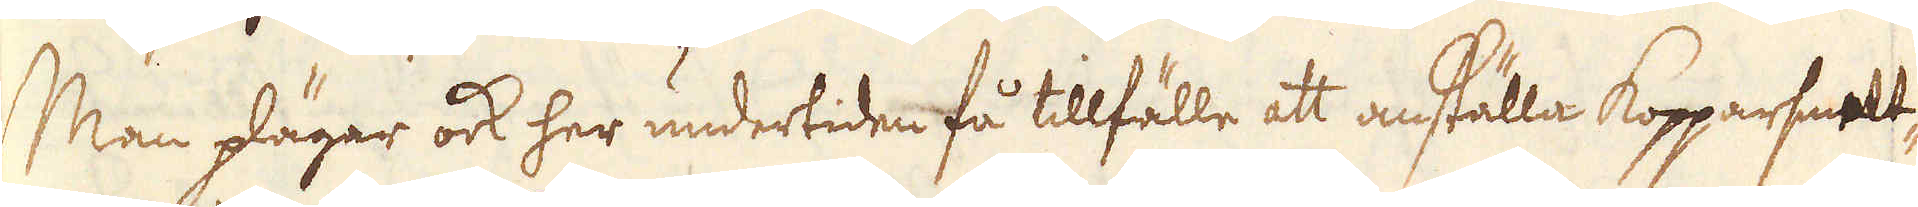Man plägar ock her undertiden få tillfälle att anställa Kopparsmelt,
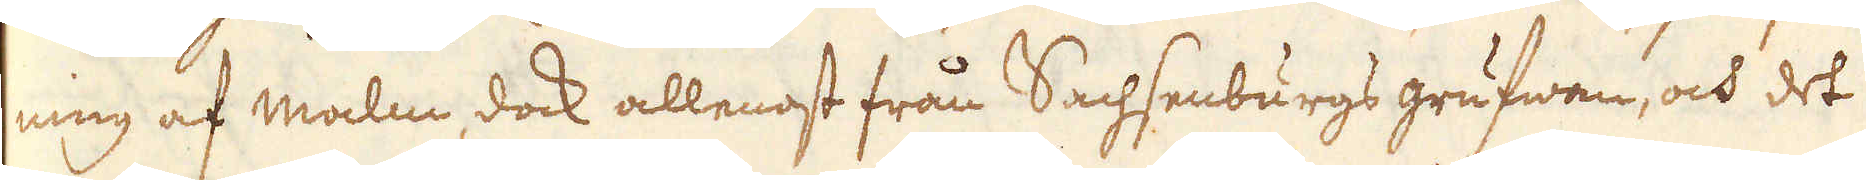ning af malm, dock allenast från Sachsenburgs grufwan, och det
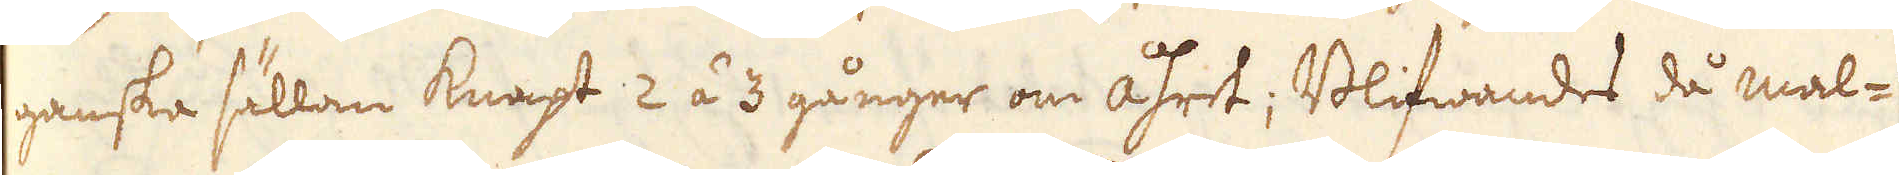ganska sällan knapt 2 á 3 gånger om åhret; Blifwandes då mal-
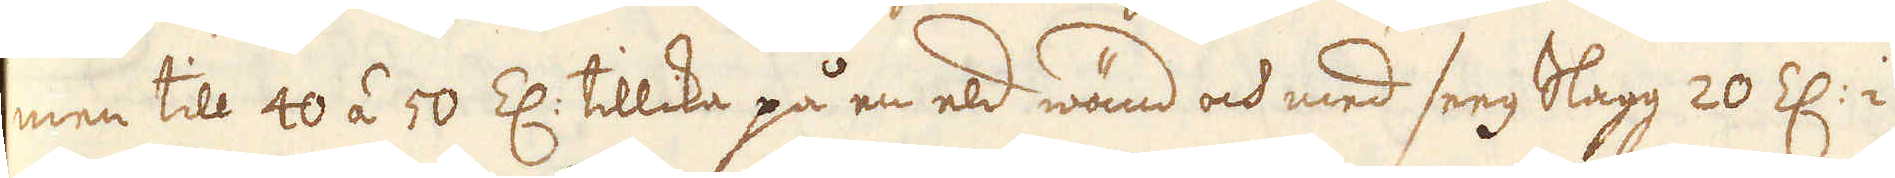men till 40 á 50 Z: tillika på en eld wänd och med seeg Slagg 20 Z: i
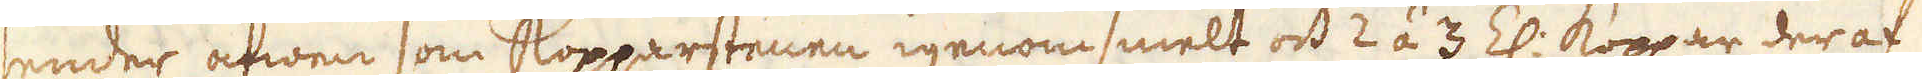sender äfwen som kommarstenen igenomsmelt och 2 á 3 Z: koppar deraf
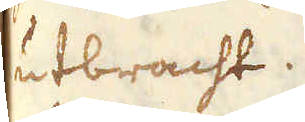utbracht.
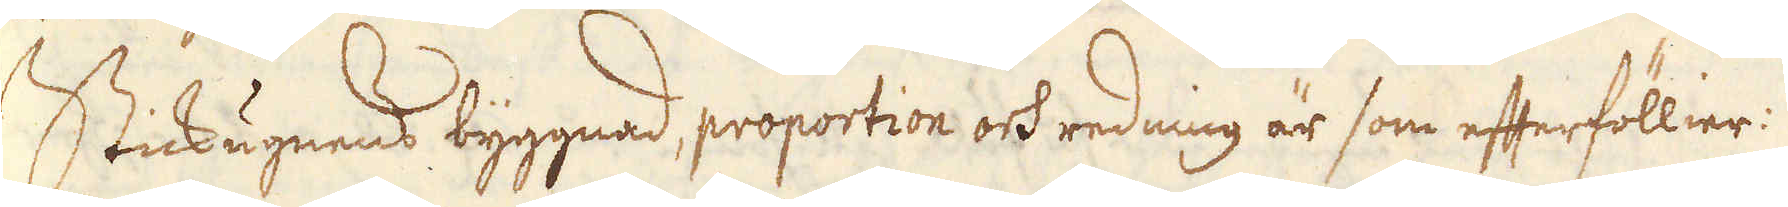Stickugnens byggnad, proportion och redning är som efterföllier:
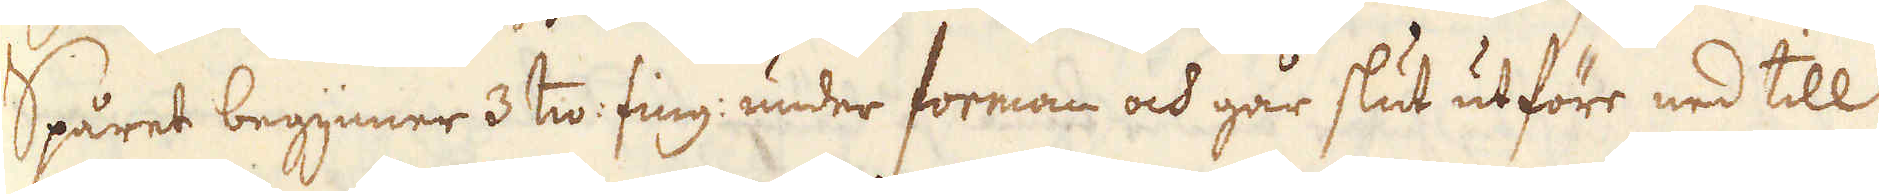Spåret begynner 3 tio fing: under forman och går slut utföre ned till
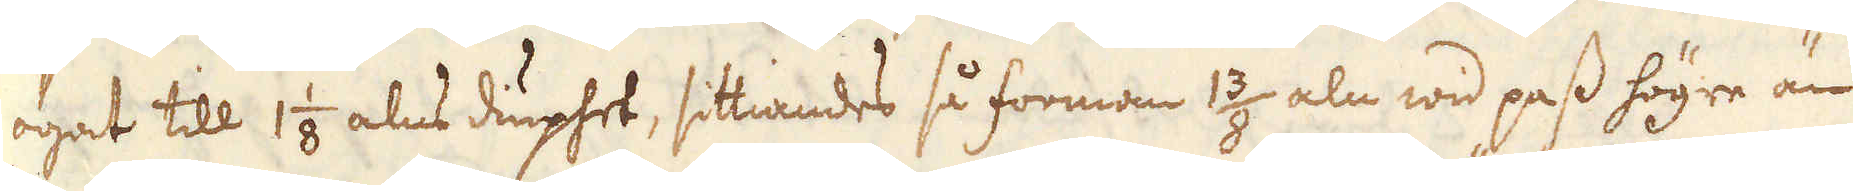ögat till 1 1/8 alns diuphet, sittiandes så forman 1 3/8 aln wid pass högre än
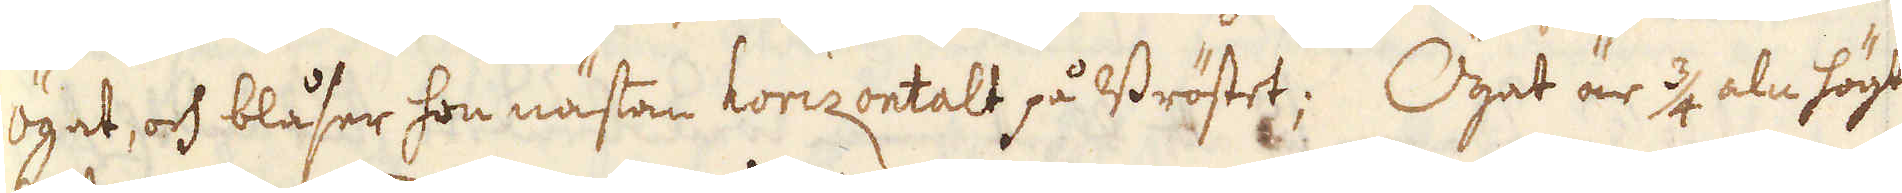ögat, och blåser hon nästan horizontalt på Bröstet; Ögat är 3/4 aln högt
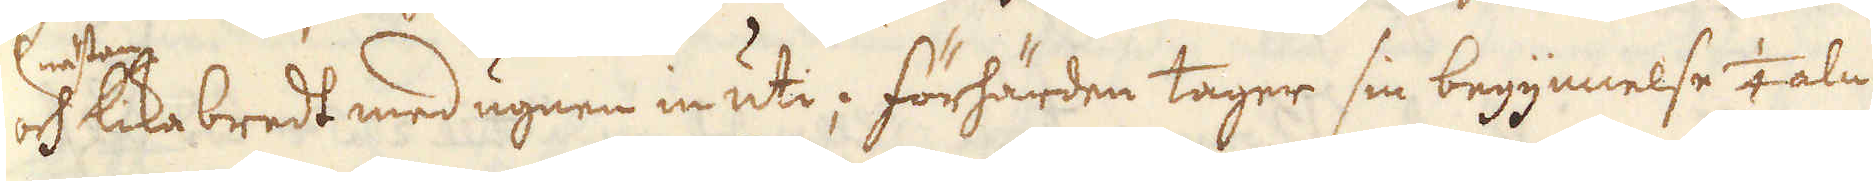och lika bredt med ugnen in uti; förhärden tager sin begynnelse 1/4 aln
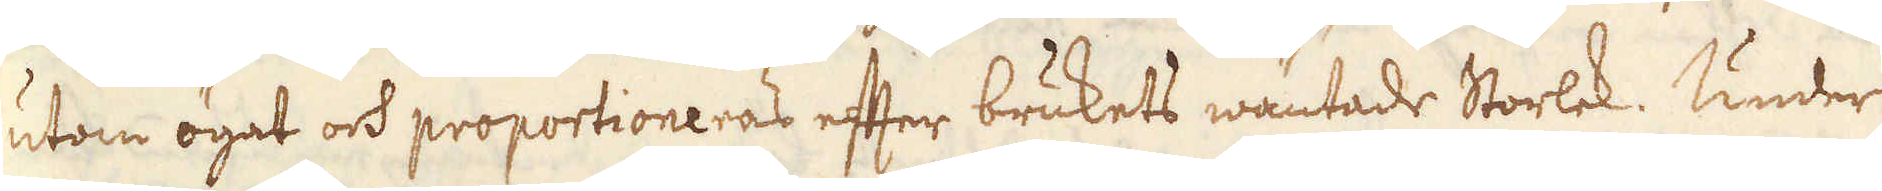utom ögat och proportioneras efter brukets wäntade Storlek. Under
